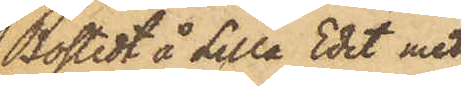Bostedt å Lilla Edet med
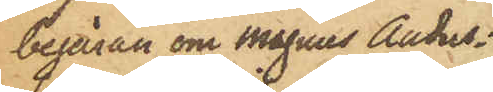begäran om Magnus Anders¬
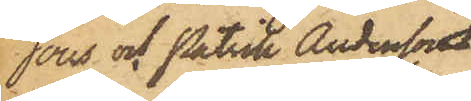sons och Patrik Anderssons
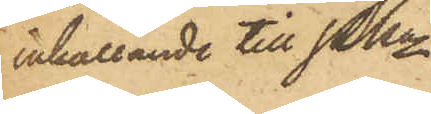inkallande till PKn.
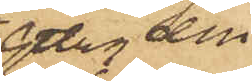Gtbrg den
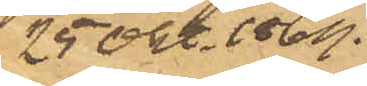25 Okt. 1869.
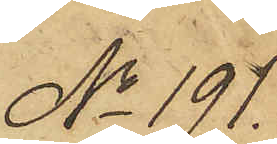No 191.
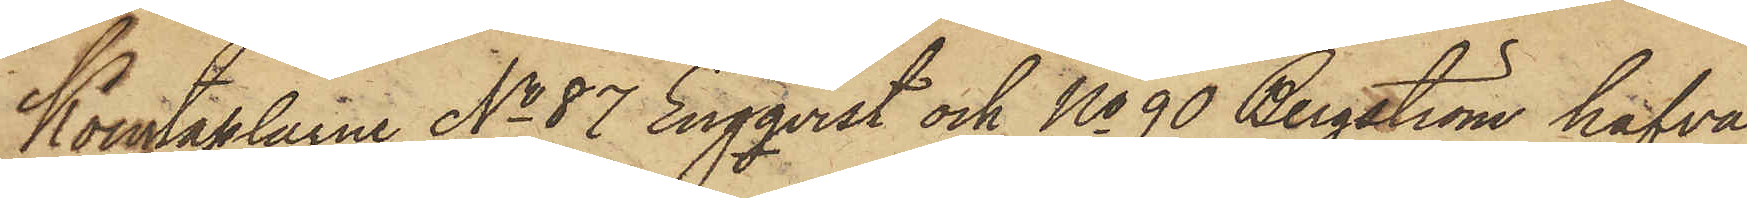Konstaplarne No 87 Engqvist och No 90 Bergström hafva
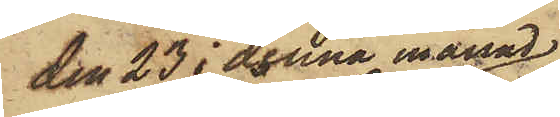den 23 i denna månad
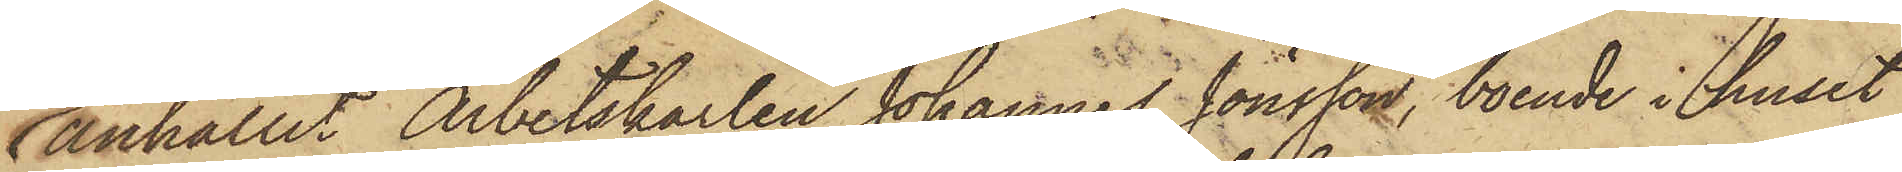anhållit Arbetskarlen Johannes Jönsson, boende i huset
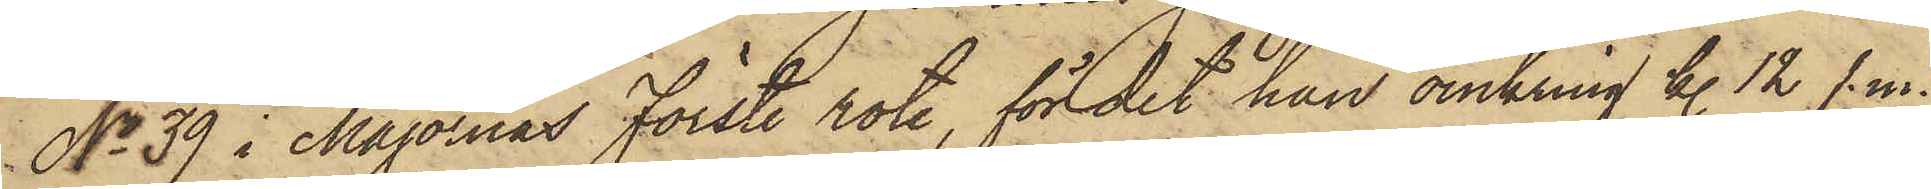No 39 i Majornas Förste rote, för det han omkring kl. 12 f. m.
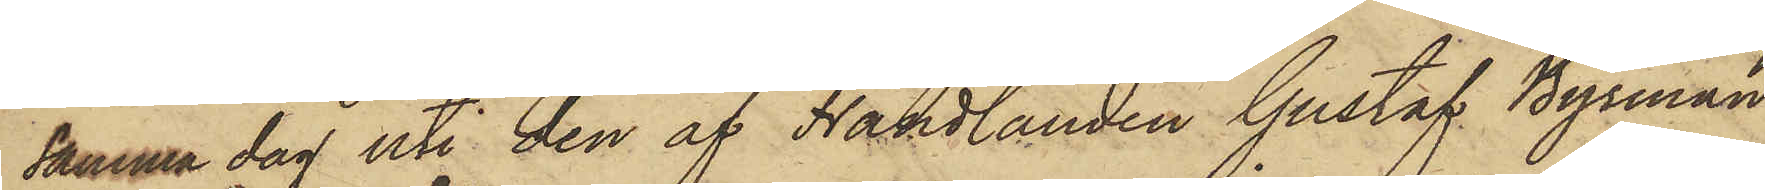samma dag uti den af Handlanden Gustaf Byrman
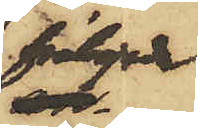förhyrda
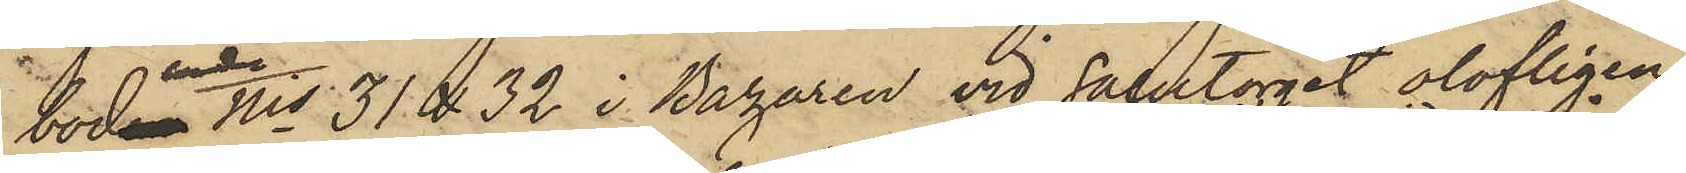bodar Nis 31 & 32 i Bazaren vid Salutorget olofligen
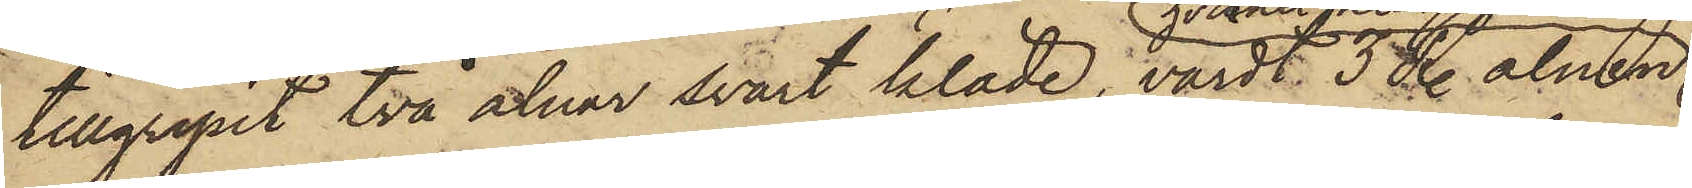tillgripit två alnar svart kläde, värdt 3 R. alnen
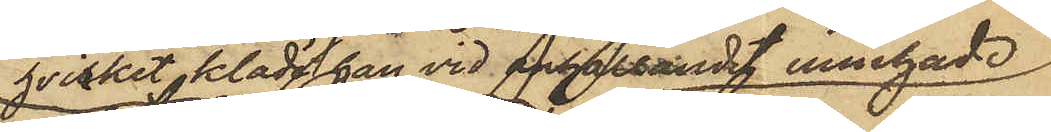hvilket kläde han vid anhållandet innehade;
